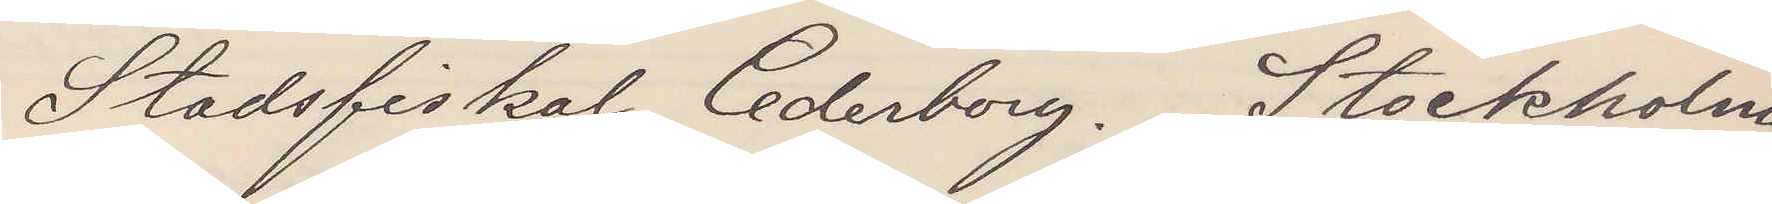Stadsfiskal Cederborg. Stockholm
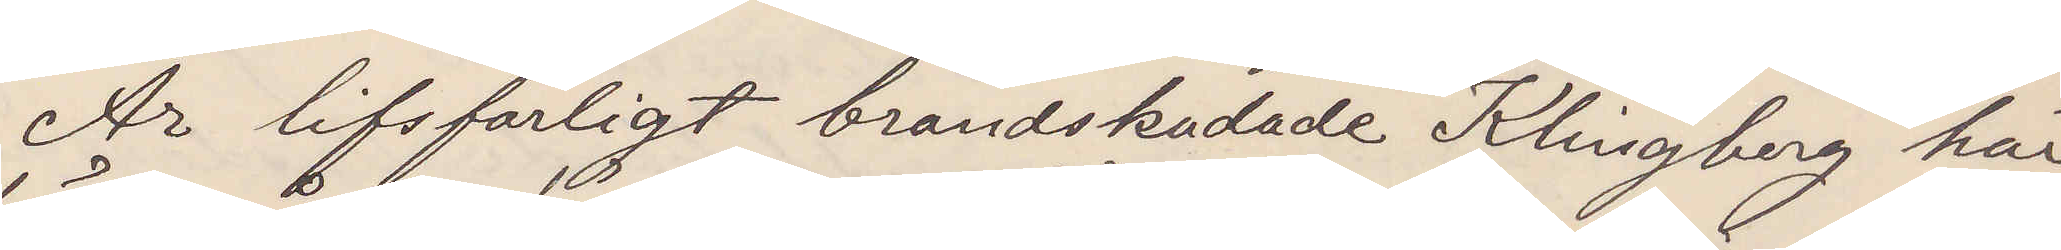Är lifsfarligt brandskadade Klingberg här
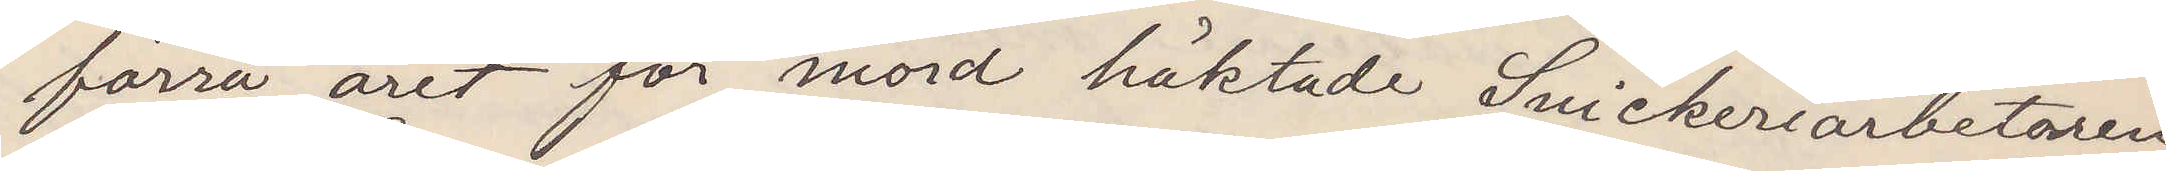förra året för mord häktade Snickeriarbetaren
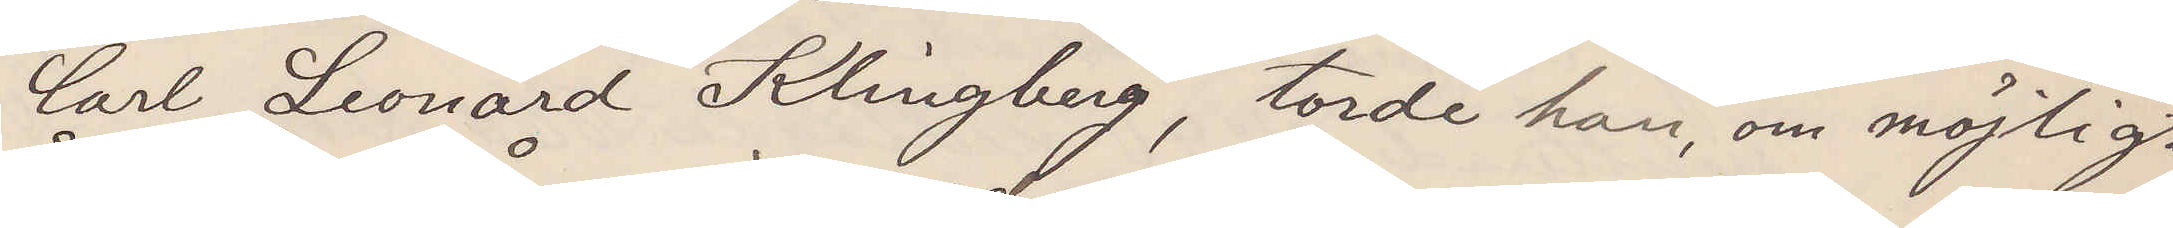Carl Leonard Klingberg, torde han, om möjligt
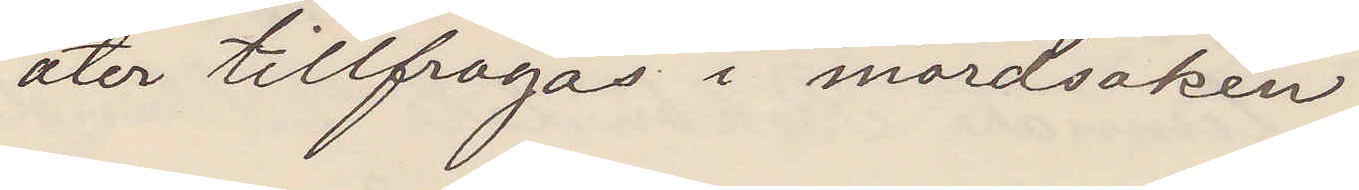åter tillfrågas i mordsaken.
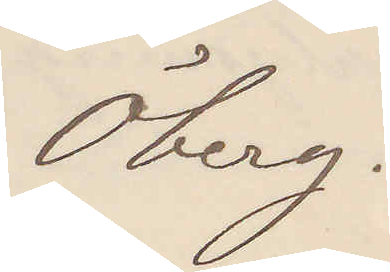Öberg.
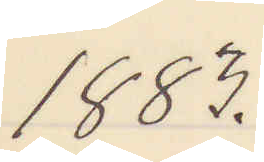1883.
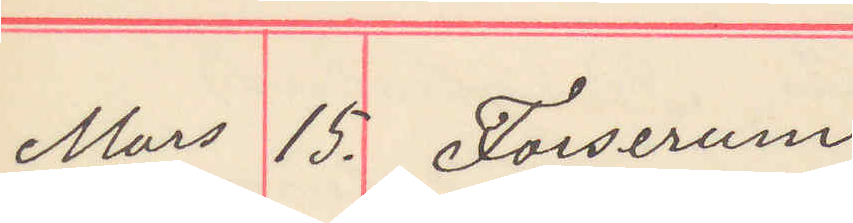Mars 15. Forserum
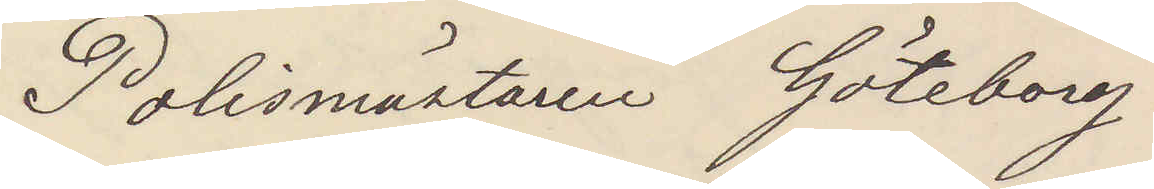Polismästaren Göteborg
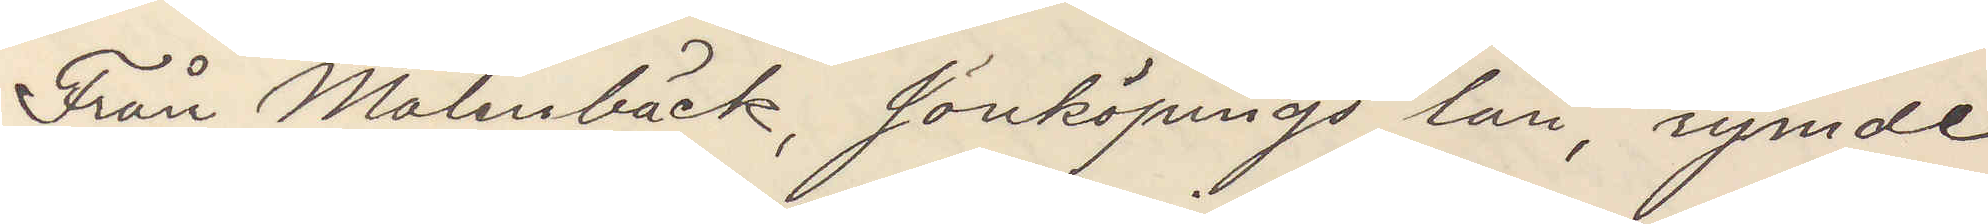Från Malenbäck, Jönköpings län, rymde
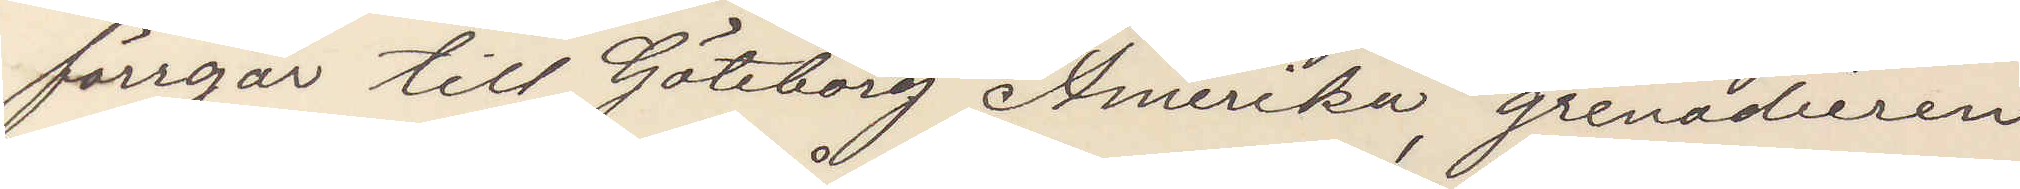förrgår till Göteborg Amerika, grenadieren
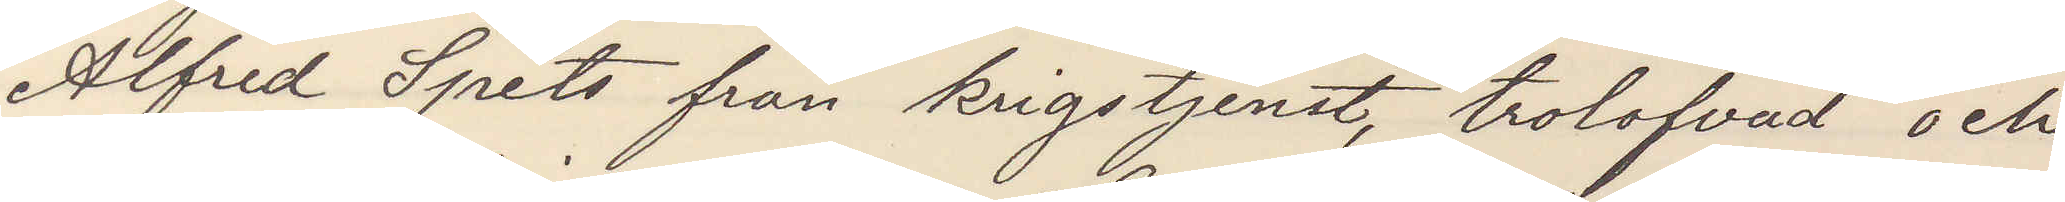Alfred Spets från krigstjenst, trolofvad och
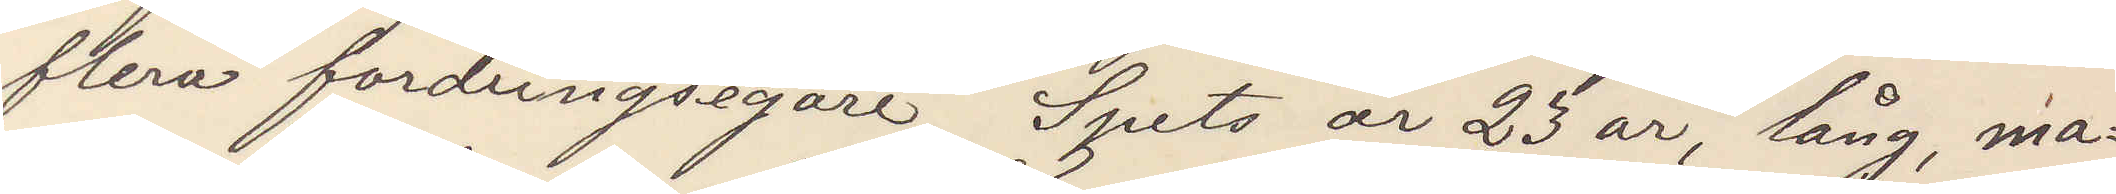flera fordringsegare. Spets är 23 år, lång, ma¬
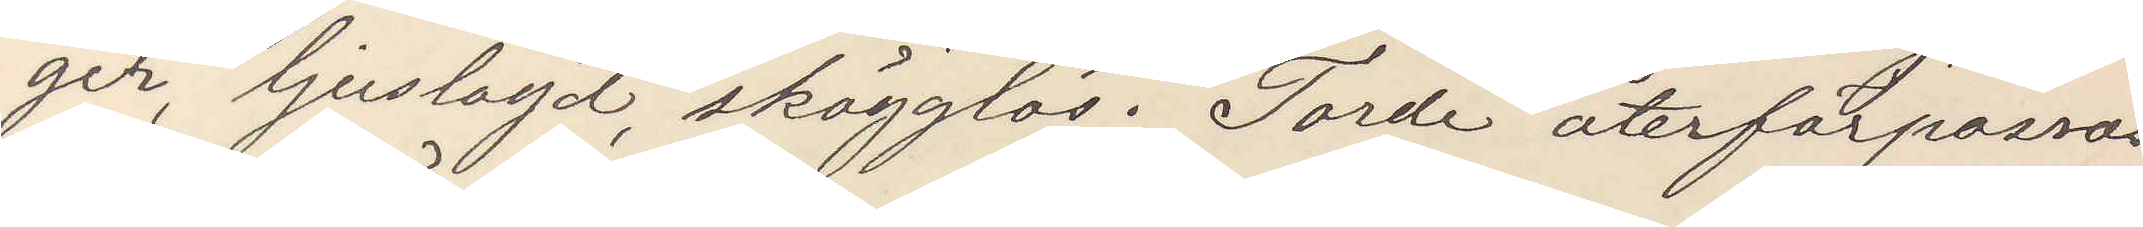ger, ljuslagd, skägglös. Torde återförpassas
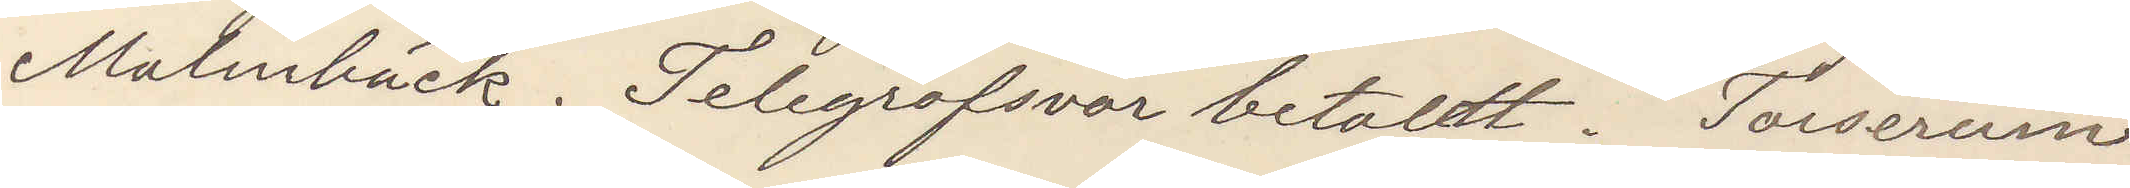Malinbäck. Telegrafsvar betalt. Forserum.
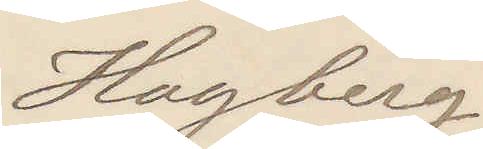Hagberg.
